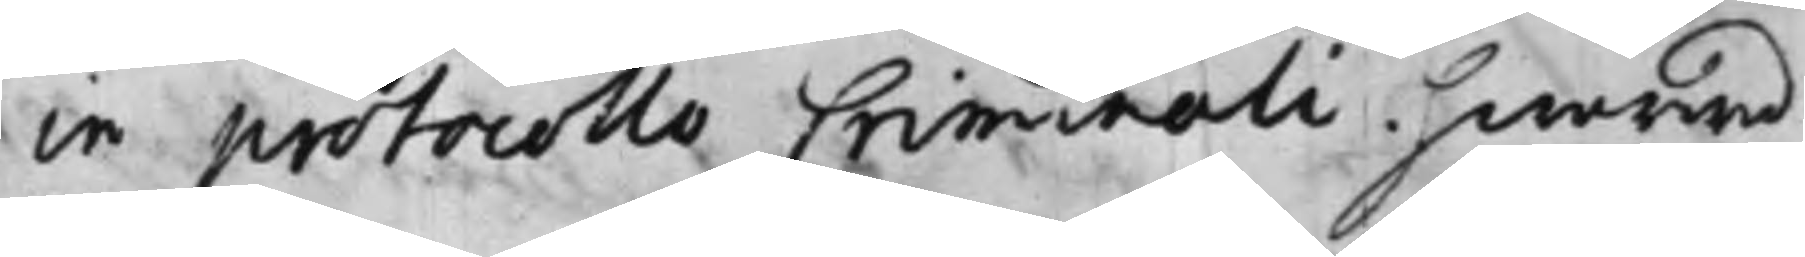in protocollo Criminali hwarwid
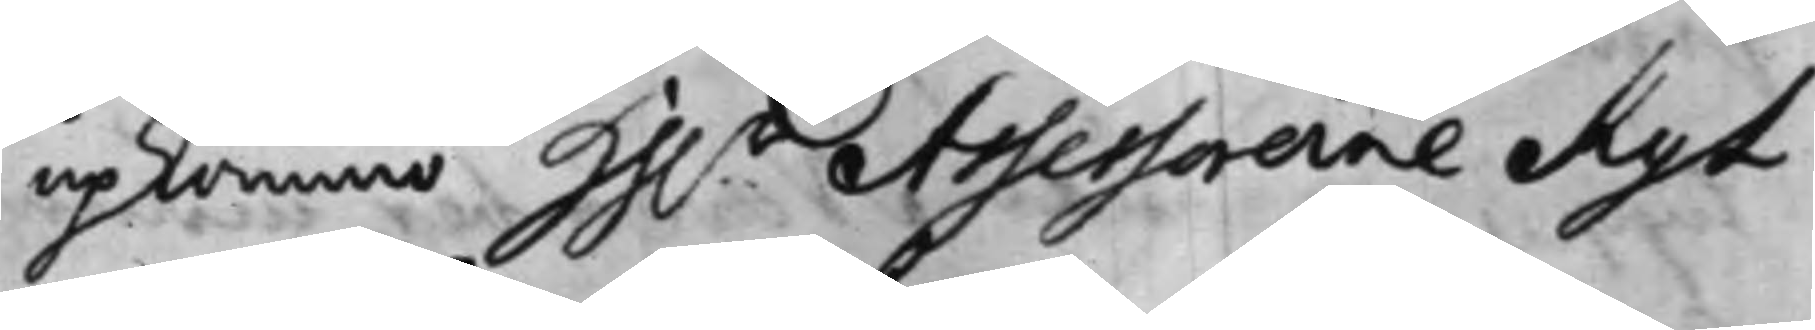upkommo Hh.r Assessorerne Kyl
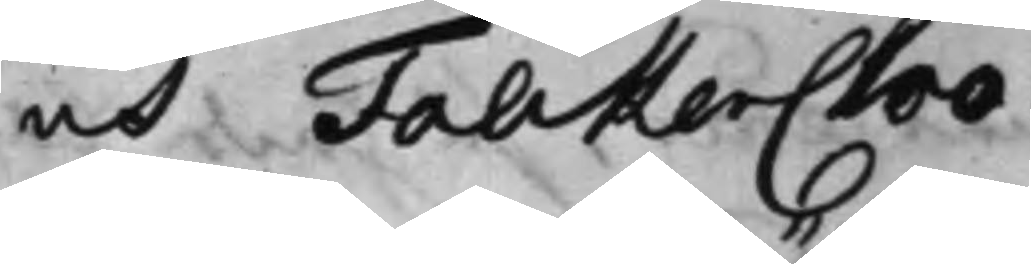och Falckencloo.
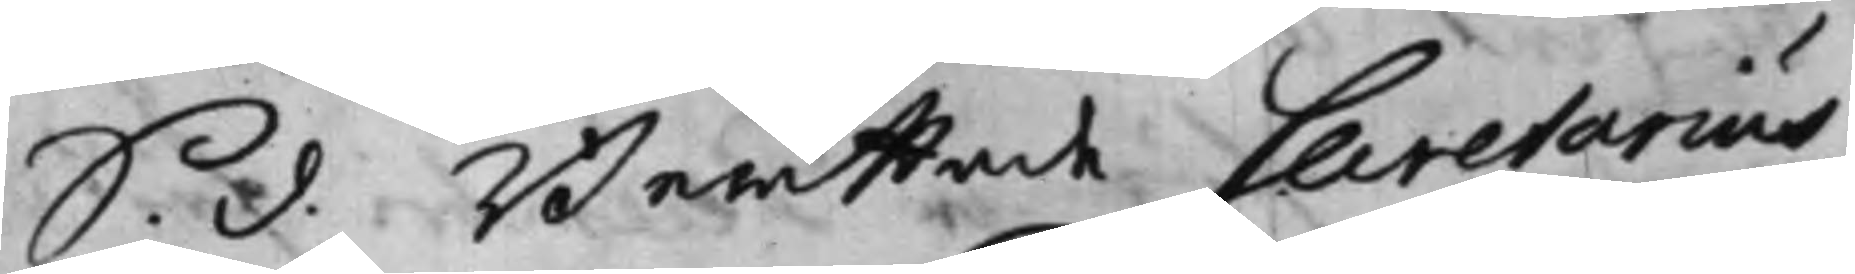S. d. Berättade Secretarius
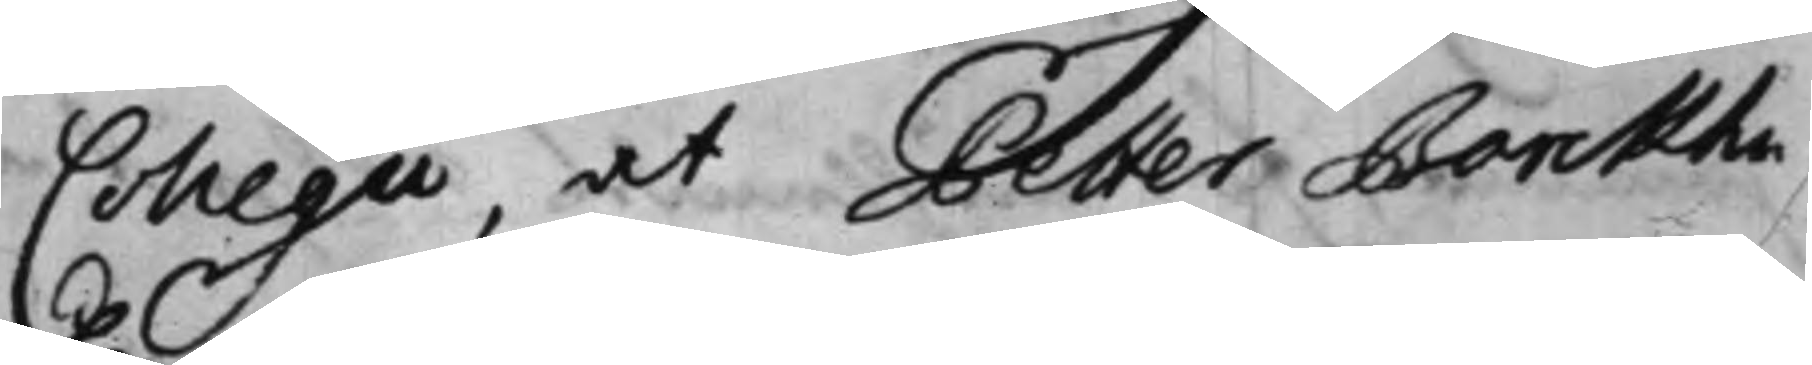Collegii, at Petter Barckhu¬
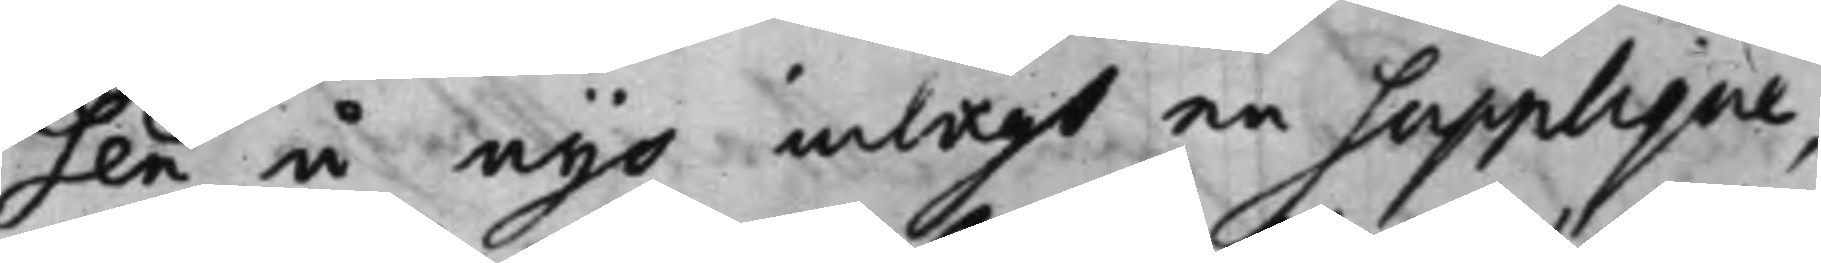sen å nyo inlagt en Supplique,
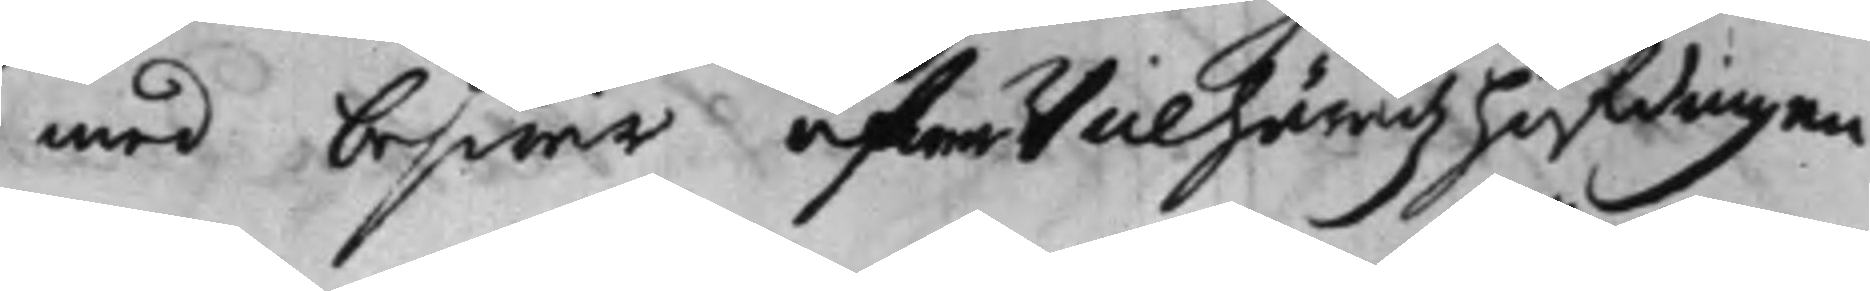med beswär öfwer Vicehäradz höfdingen
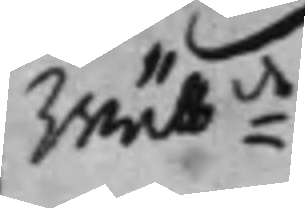Wälb:de
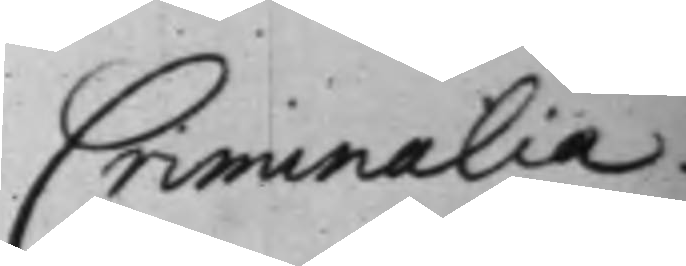Criminalia
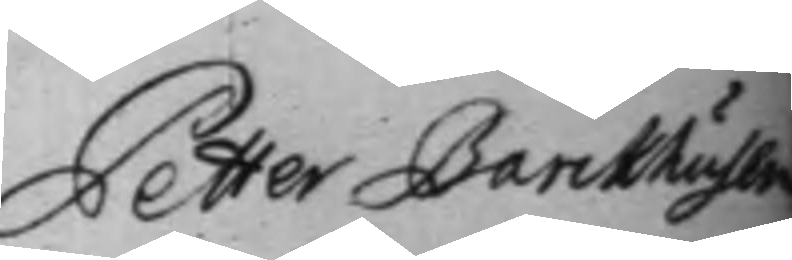Petter Barckhusen
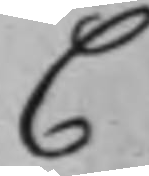C
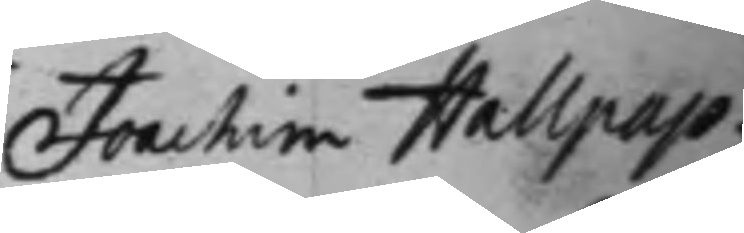Joachim Hallpap.
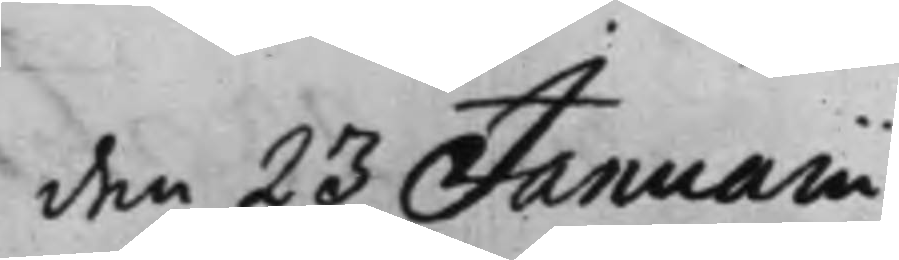den 23 Januarii
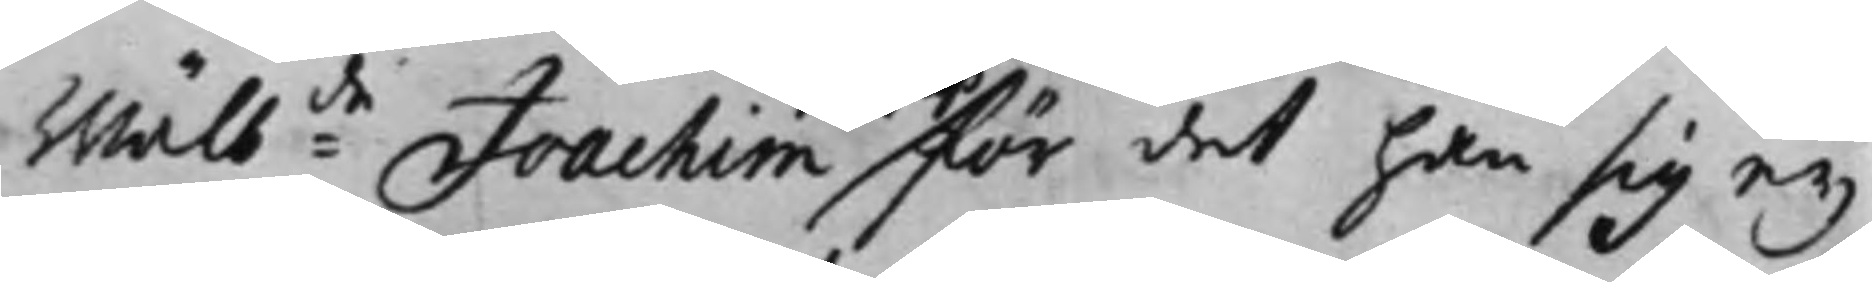Wälb:de Joachim för det han sig ey
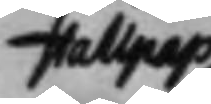Hallpap
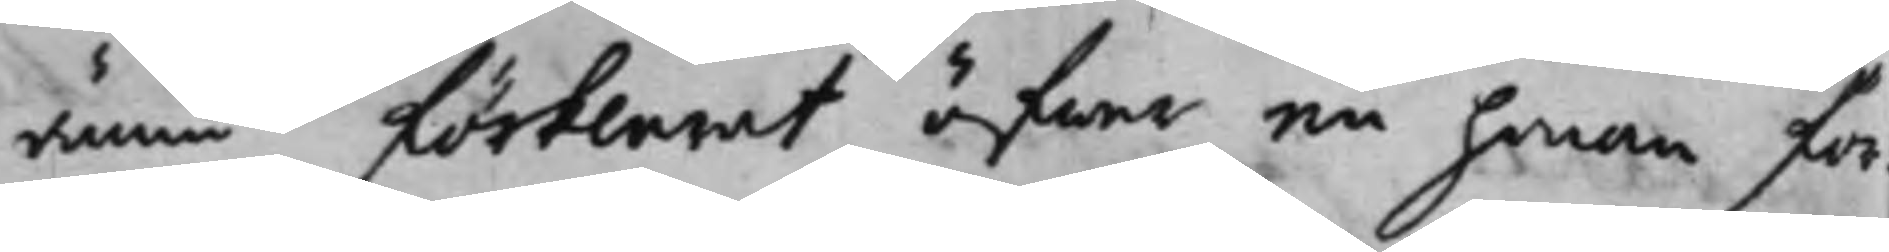ännu förklarat öfwer en honom för¬
